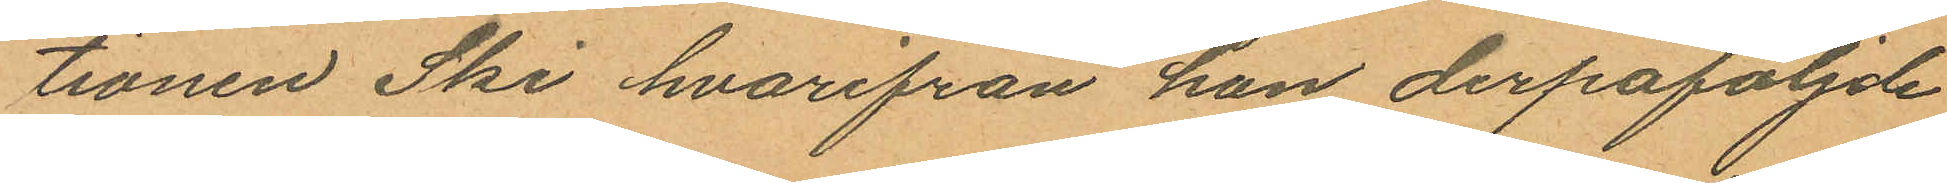tionen Ski hvarifrån han derpåföljde
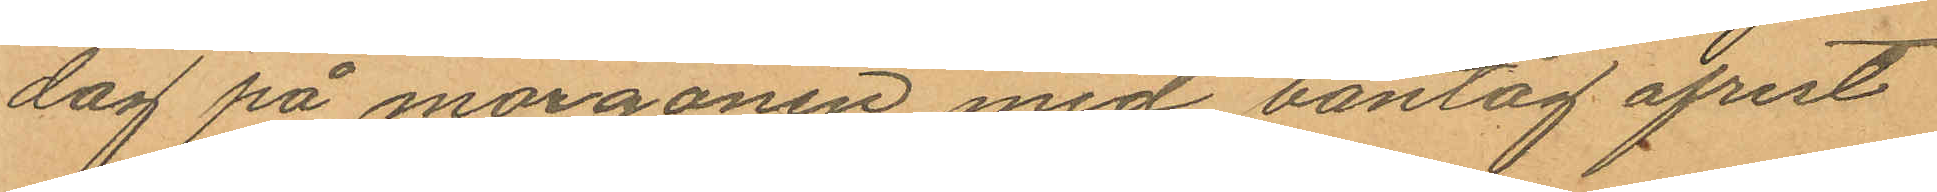dag på morgonen med bantåg afrest
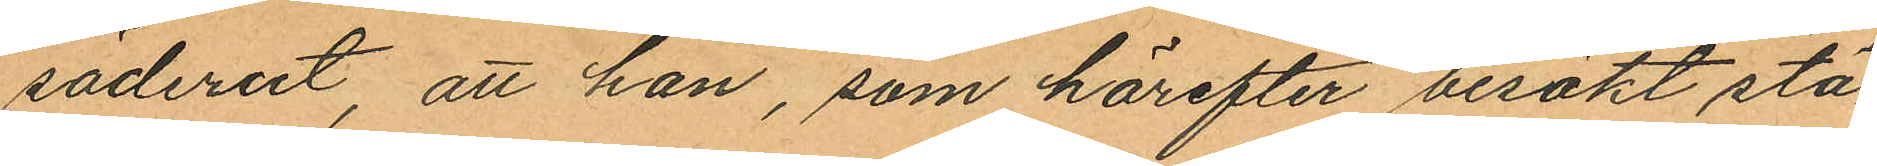söderut, att han, som härefter besökt stä¬
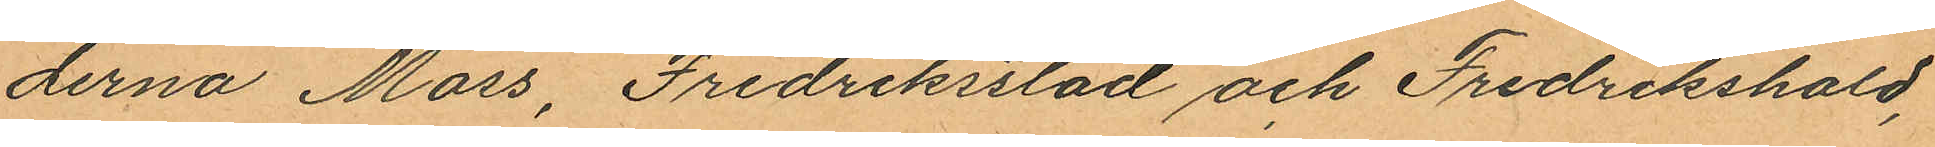derna Moss, Fredriksstad och Fredrikshald,
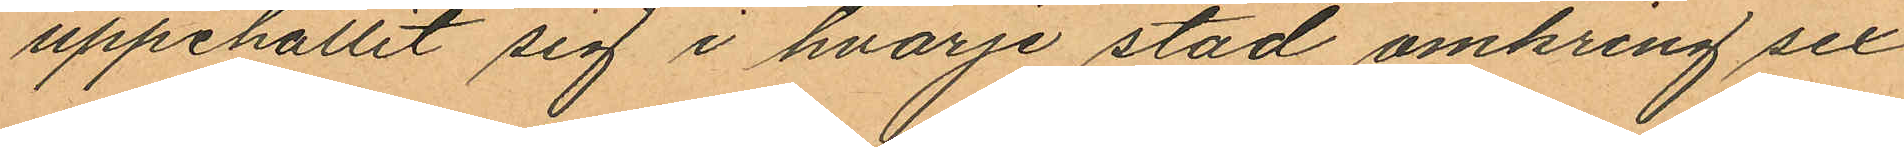uppehållit sig i hvarje stad omkring sex
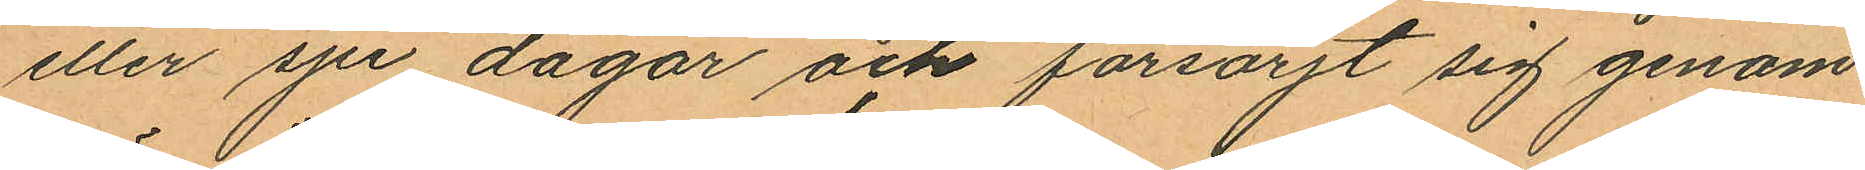eller sju dagar och försörjt sig genom
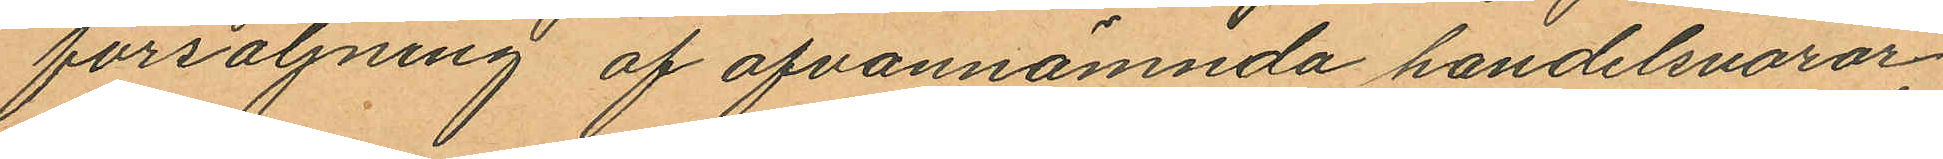försäljning af ofvannämnda handelsvaror,
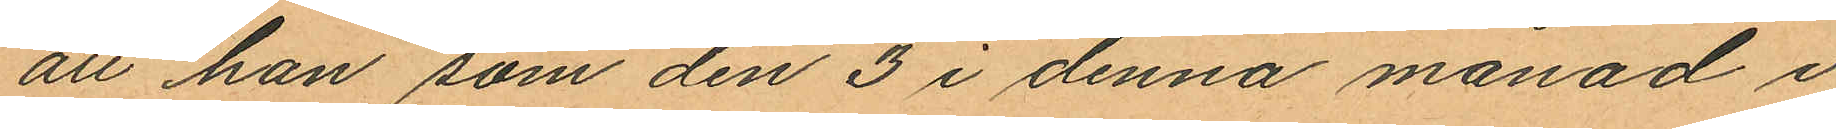att han som den 3 i denna månad i
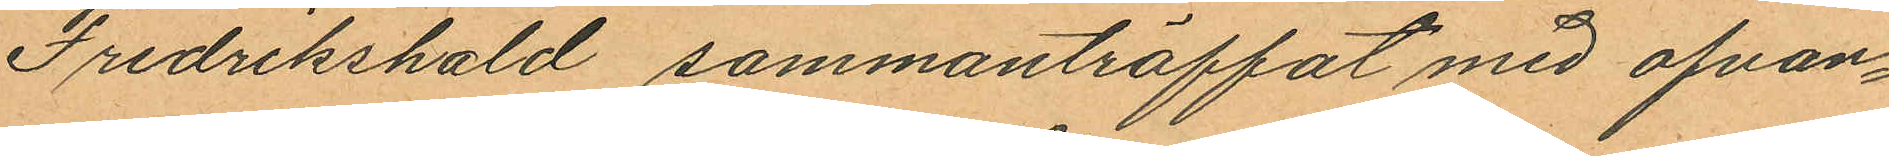Fredrikshald sammanträffat med ofvan¬
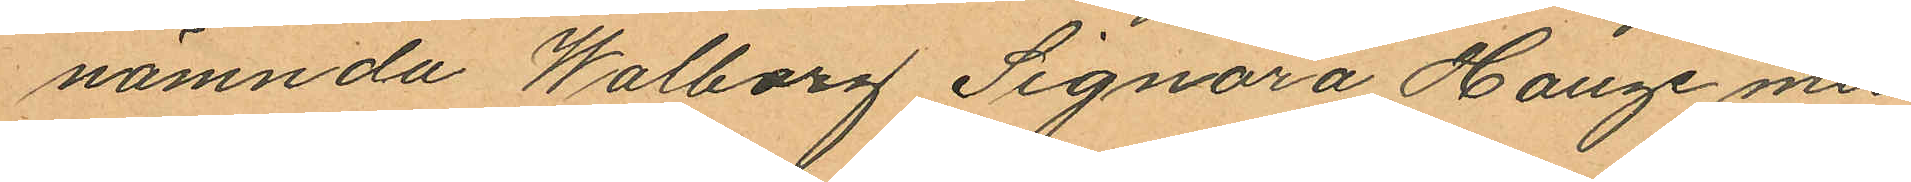namnda Walborg Signora Hauge med
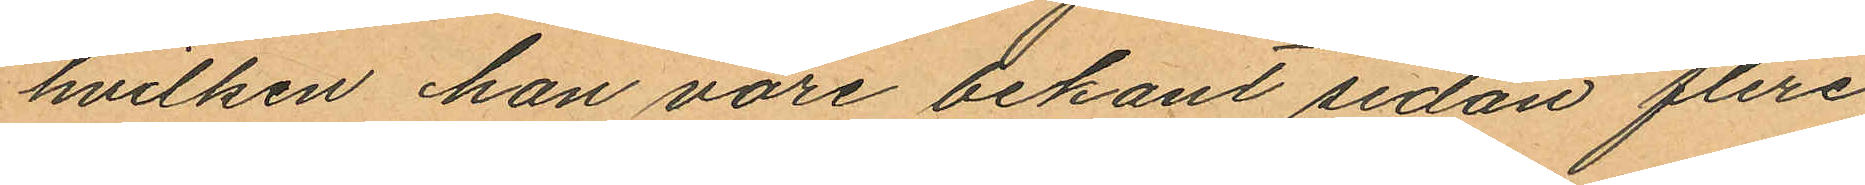hvilken han vore bekant sedan flere
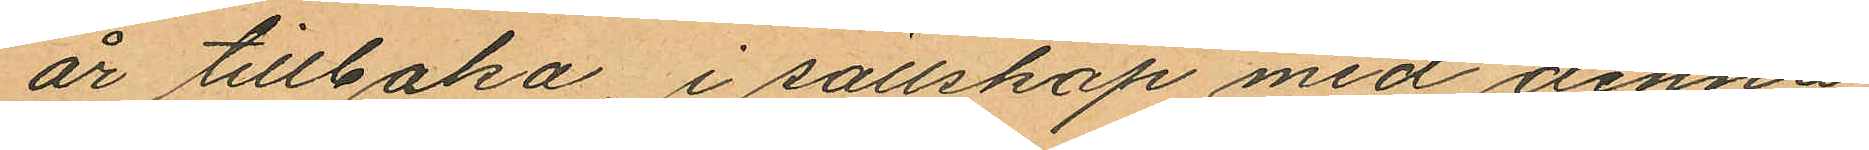år tillbaka, i sällskap med denna
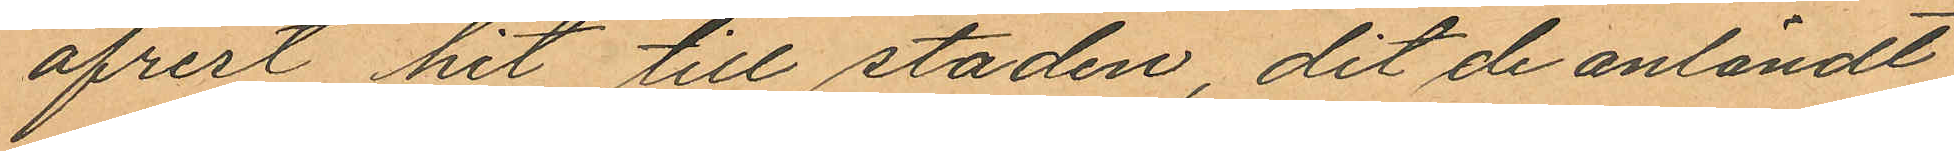afrest hit till staden, dit de anländt
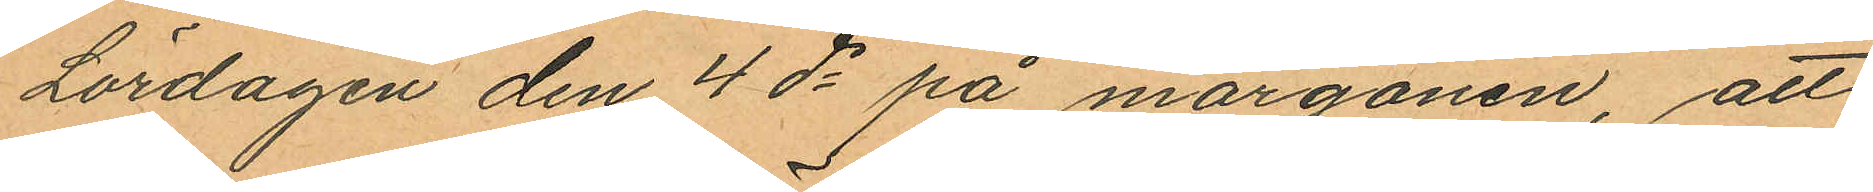Lördagen den 4 ds på morgonen, att
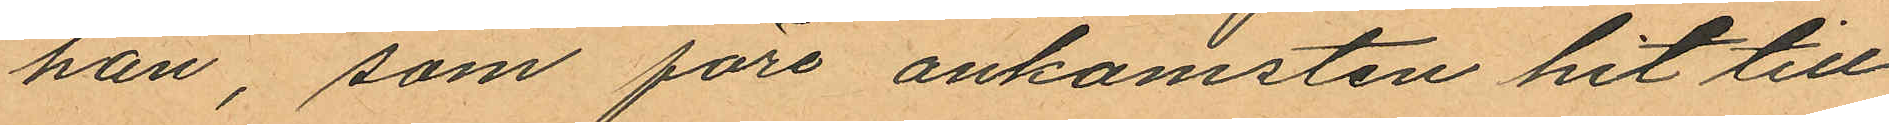han, som före ankomsten hit till
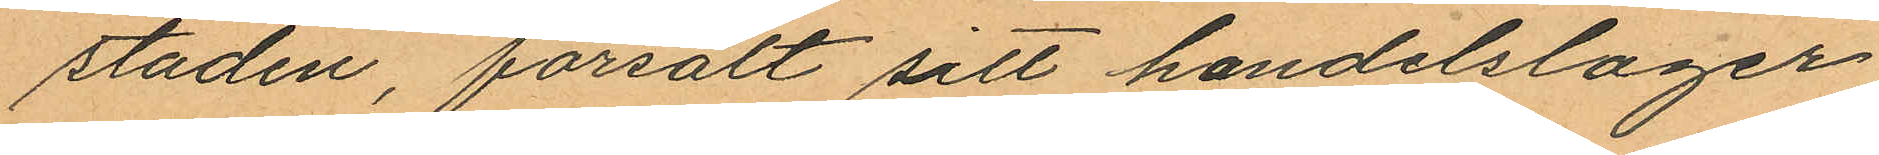staden, försålt sitt handelslager
